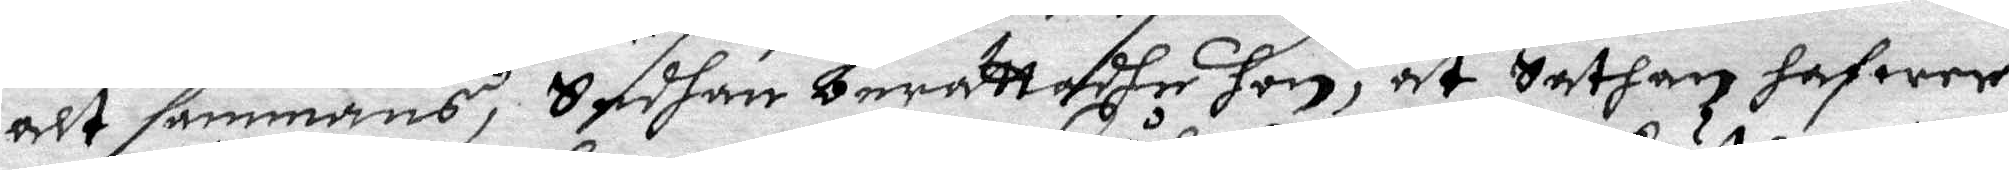alt sammans, Sedhan berättadhe hon, at Sathan hafwer
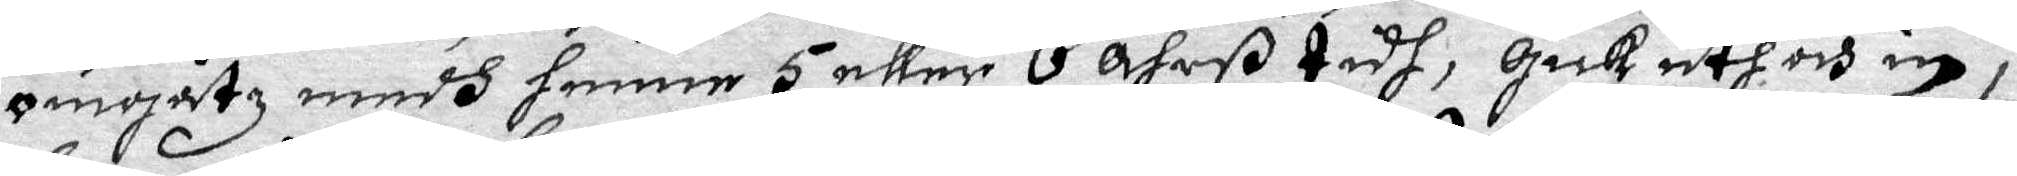omgåtz, medh henne 5 eller 6 åhrß tidh, Gick uth och in i
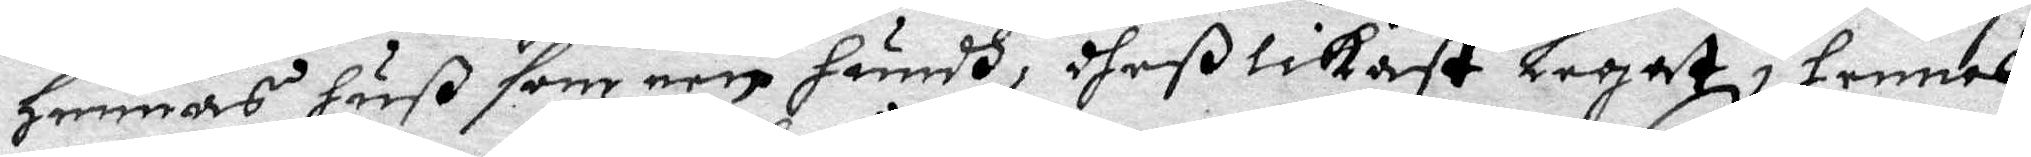hennas huß som een hundh, dheß likast legat i hennes
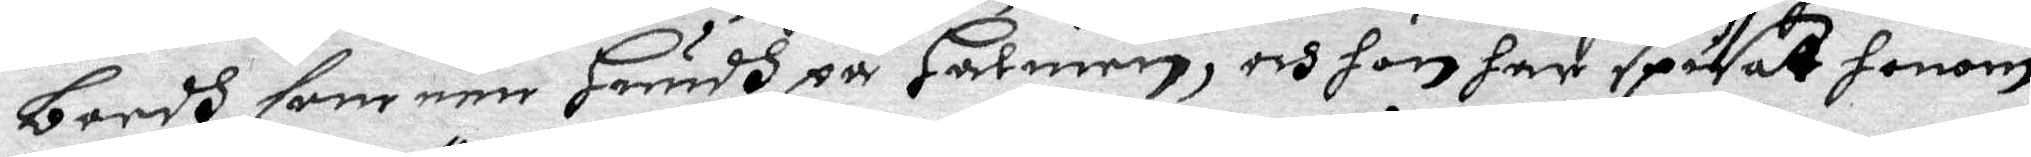bordh som een hundh på Halmen, och hon har spisat honom
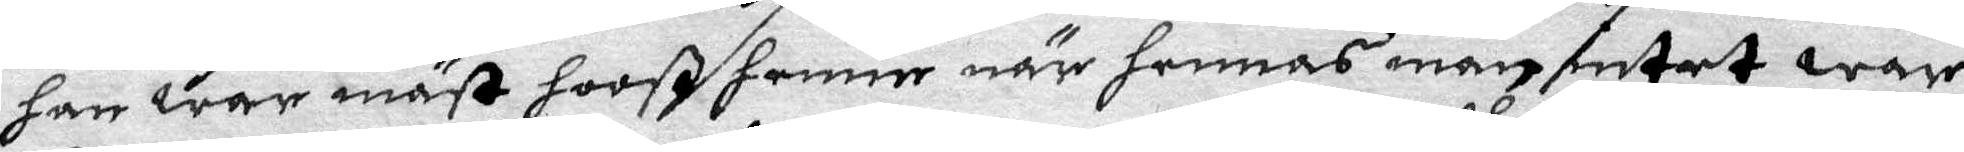han war mäst hooß henne när hennes man intet war
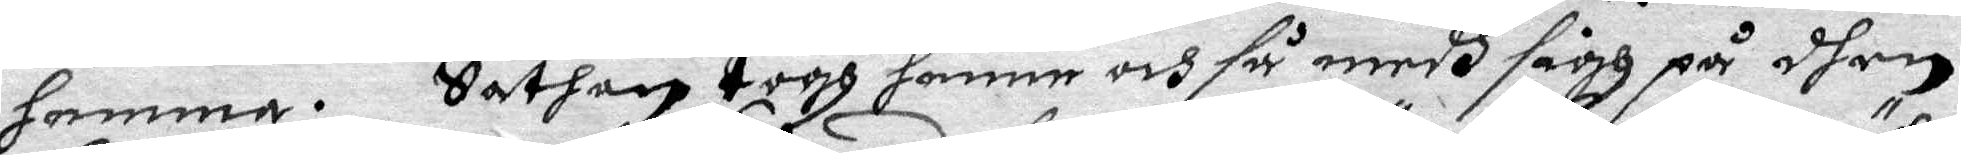hemma. Sathan togh henne och så medh sigh på dhen
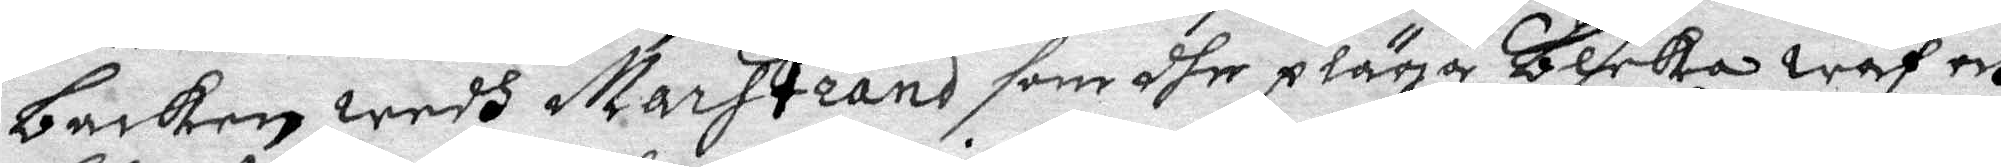backen wedh Marstrand som dhe plägar Bleka wäf och
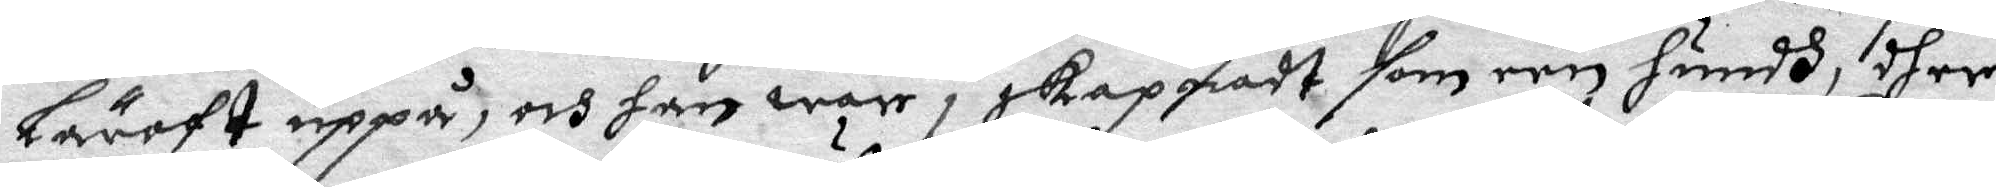lärvft uppå, och han war i skapnadt som een hundh, dher
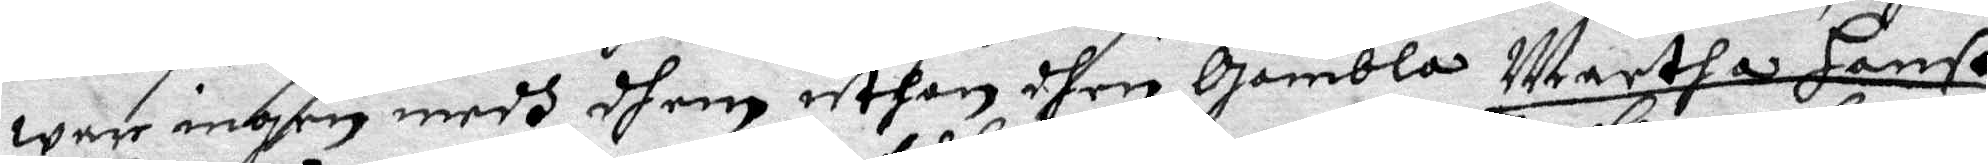ware ingen medh dhem uthan dhen Gambla Martha Hanß
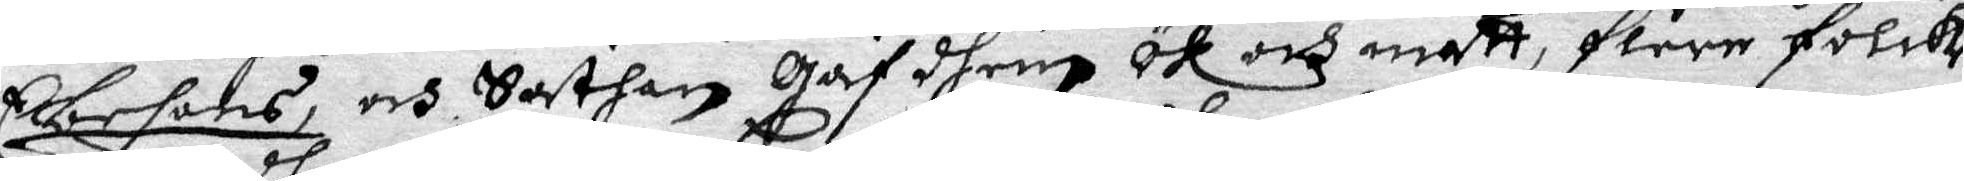Ebesons, och Sathan gaf dhem öl och matt, flere folck
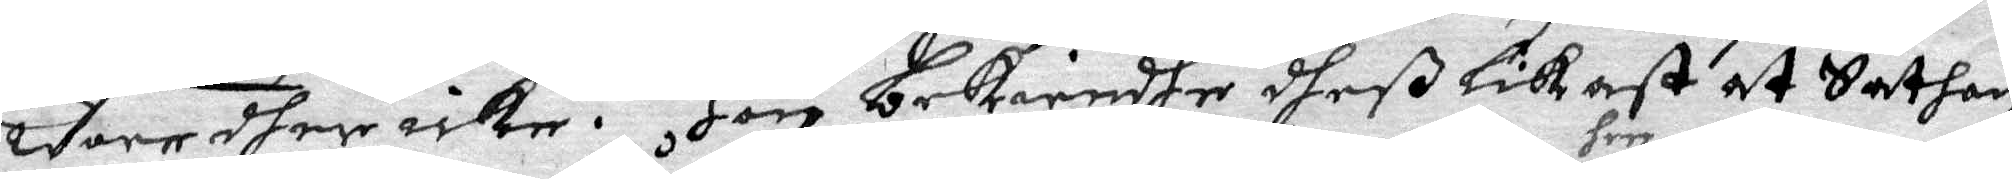wore dher icke. Hon bekieendhe dheß likast at Sathan
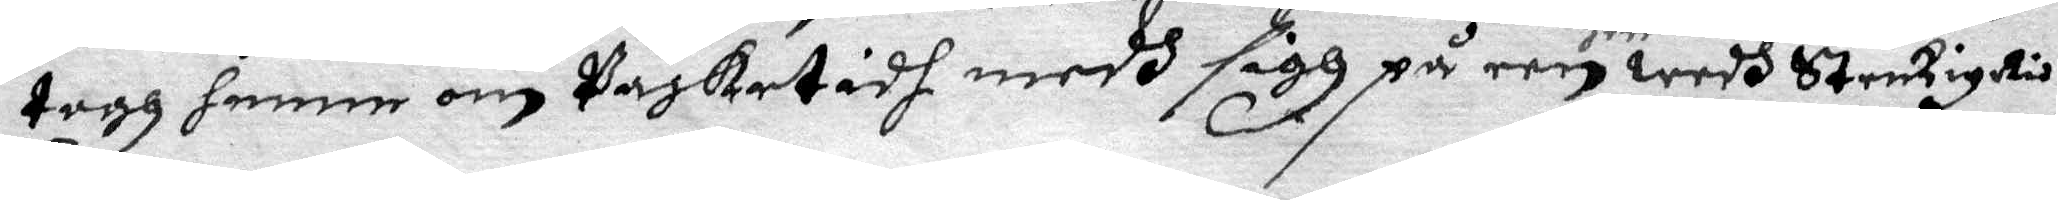togh henne om Påsketidh medh sigh på een her wedh Stenkiyrkia
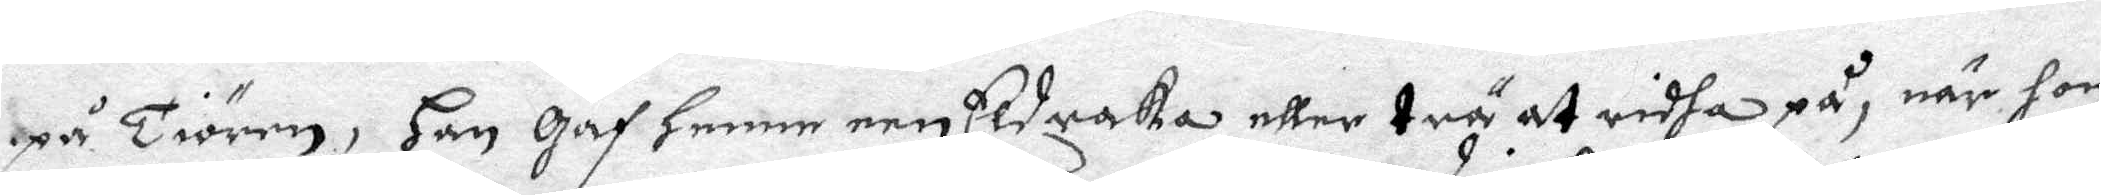på Tiören, Han gaf henne een Eldraka eller trä at ridha på, när hon
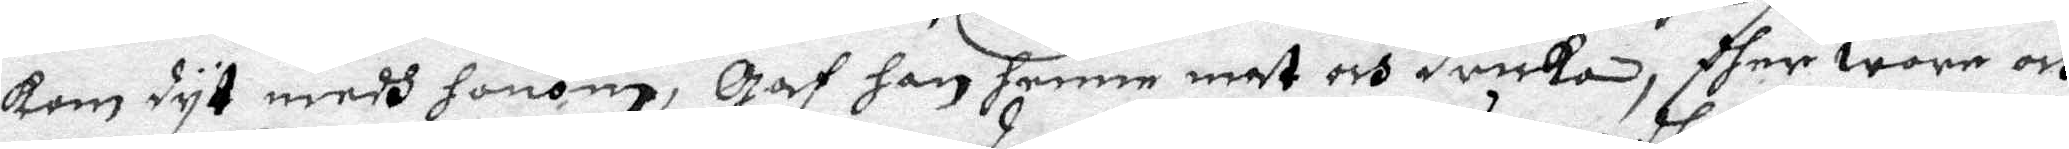kom dyt medh honom, Gaf han henne mat och dricka, dher wore och
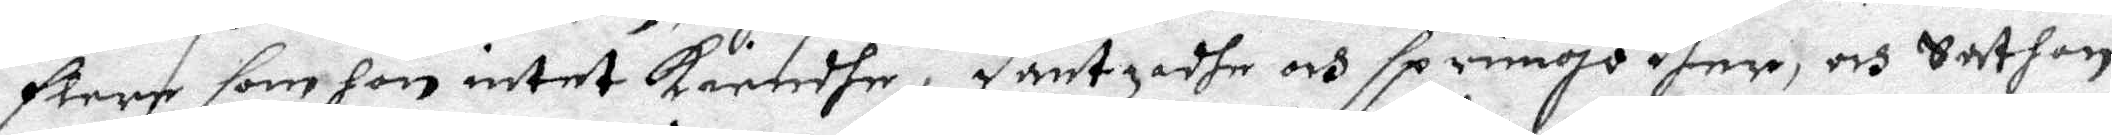flere som hon intet kiendhe. Dantzadhe och sprungo dher, och Sathan
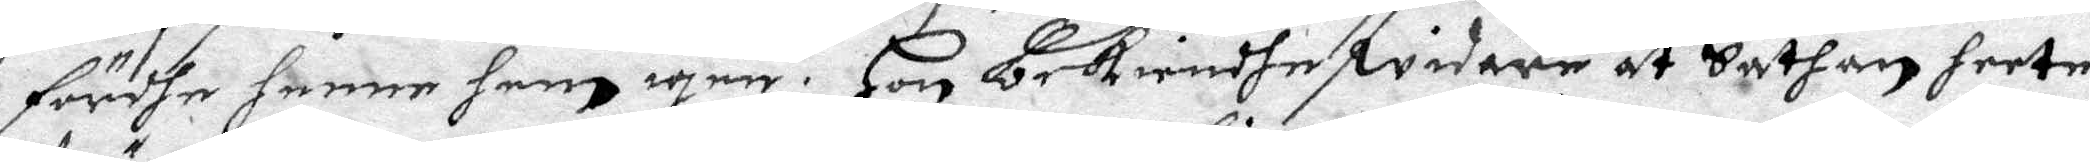fördhe henne hem igen. Hon bekiendhe widare at Sathan heete
